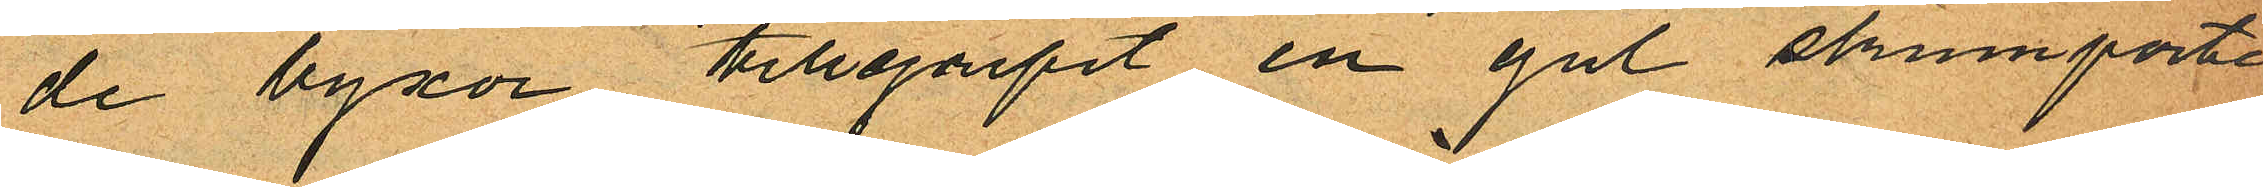de byxor tillgripit en gul skinnporte¬
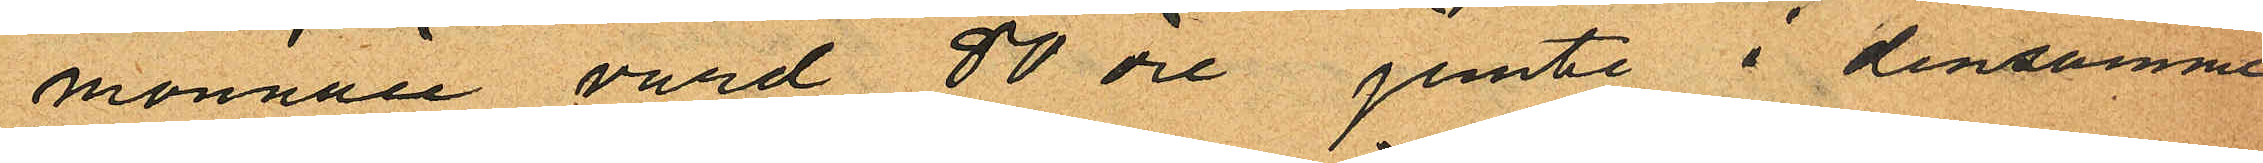monnaie värd 80 öre jemte i densamme
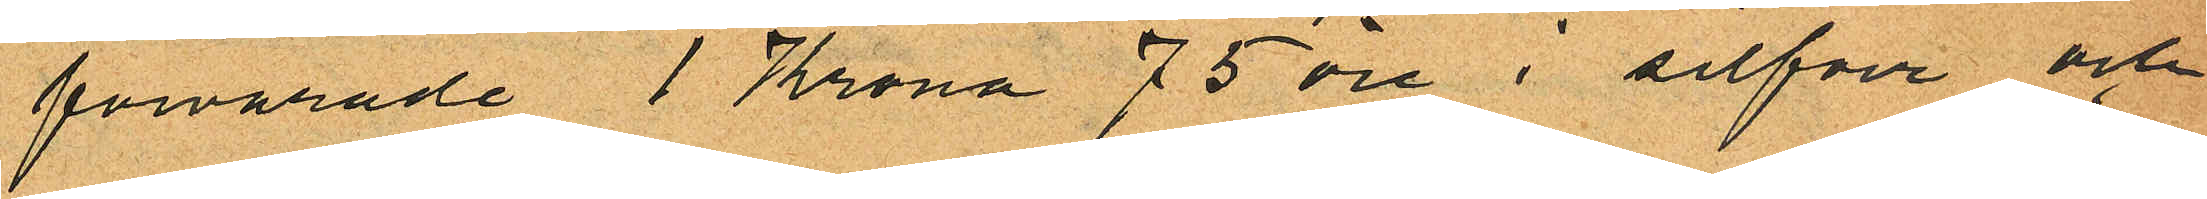förvarade 1 Krona 75 öre i silfver och
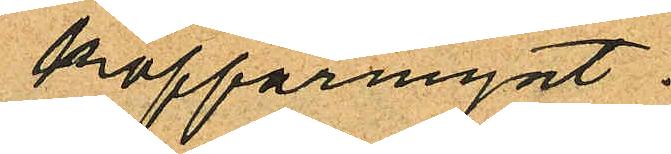kopparmynt.
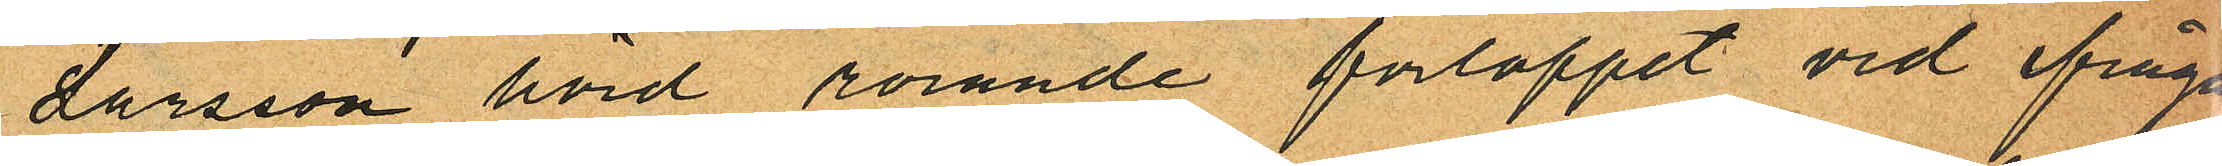Larsson hörd rörande förloppet vid ifråga
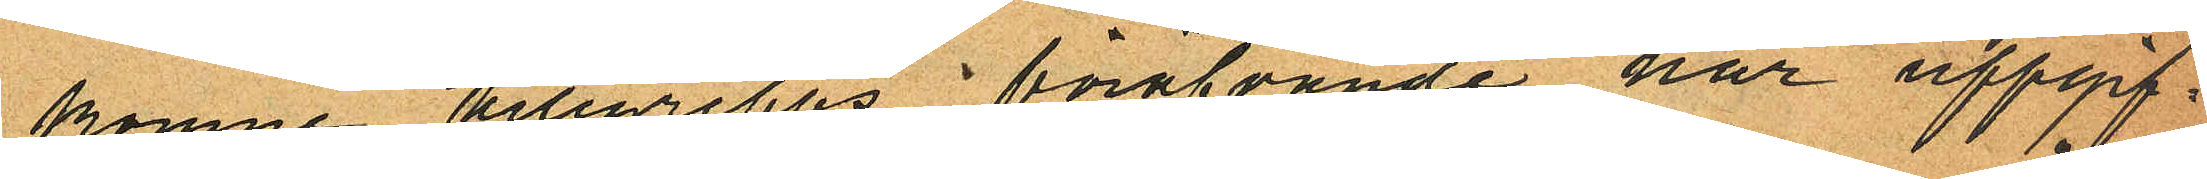komne tillgrepps föröfvande har uppgif¬
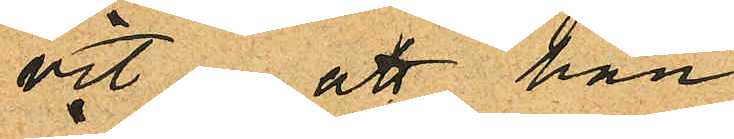vit att han
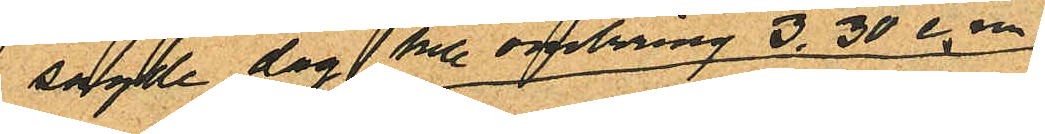sagde dag till omkring 3.30 e.m
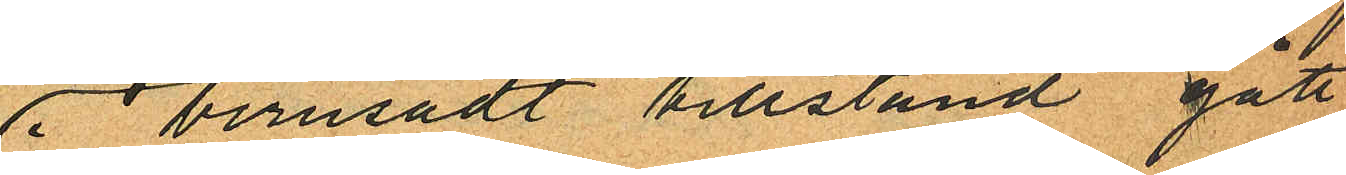i berusadt tillstånd gått
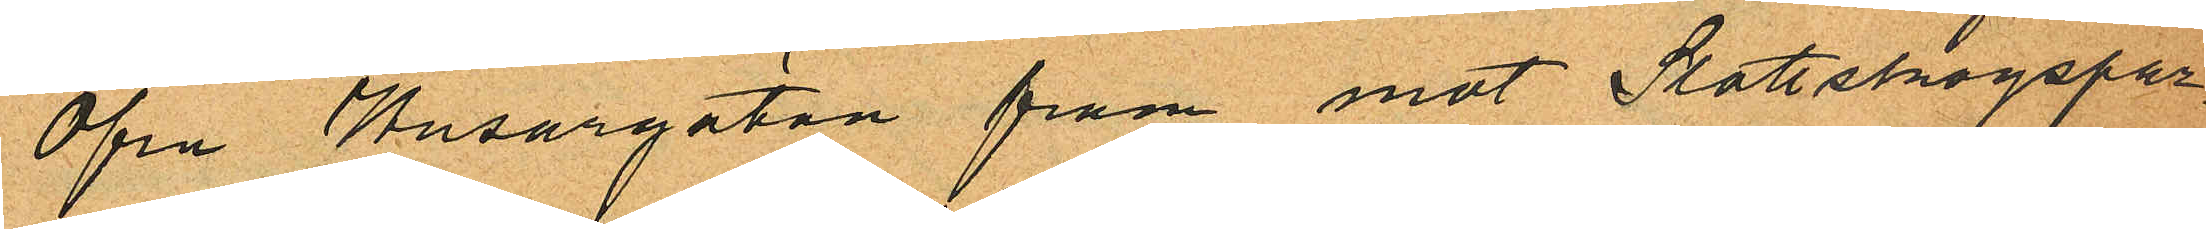Öfra Husargatan fram mot Slottskogspar¬
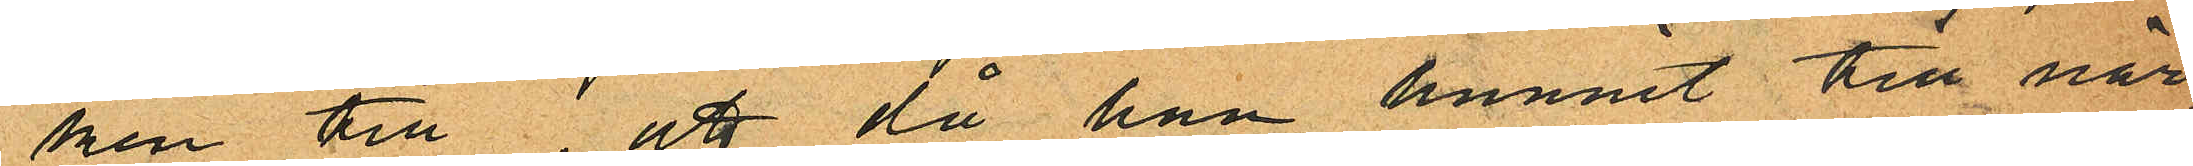ken till att då han hunnit till när¬
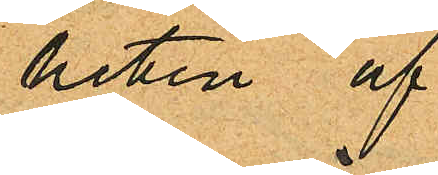heten af
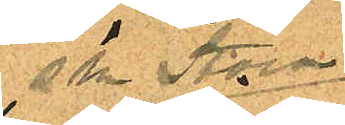sk Stora
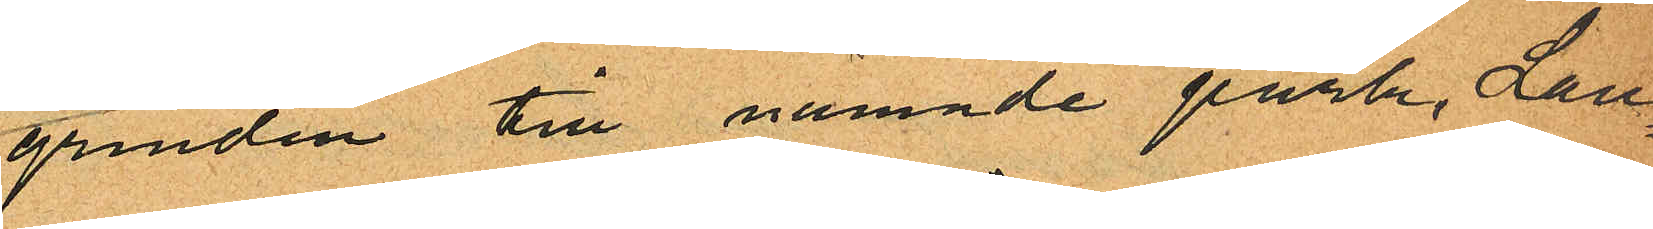grinden till nämnde park, Lau¬
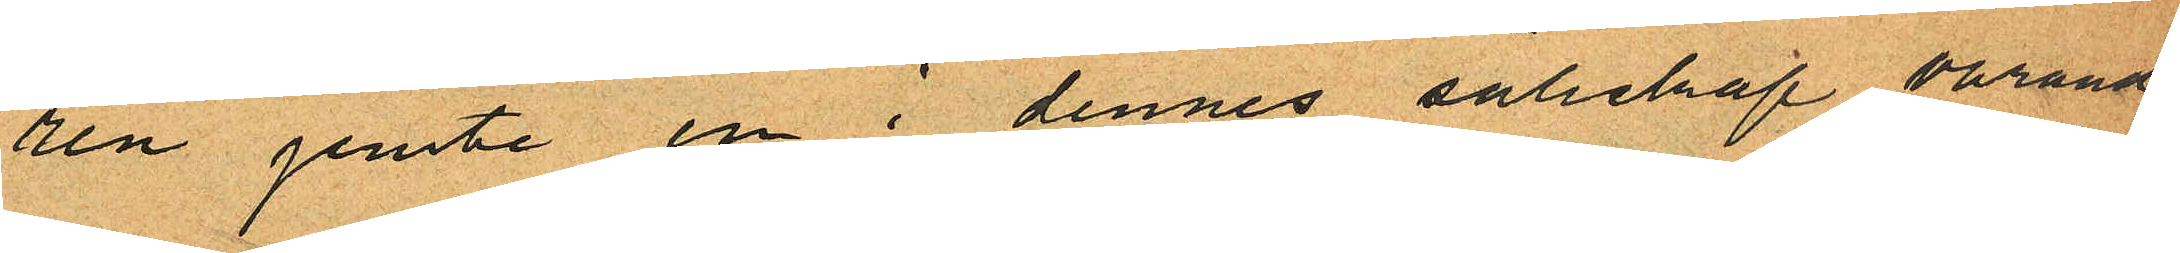rén jemte en i dennes sälskap varande
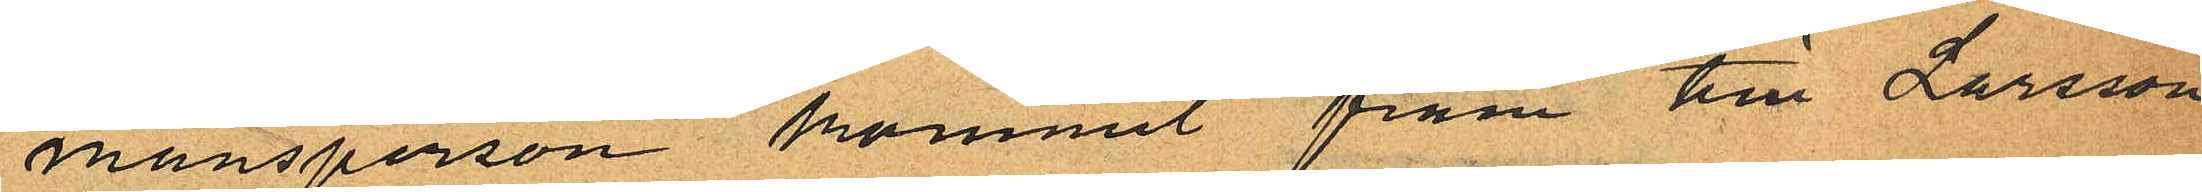mansperson kommit fram till Larsson
